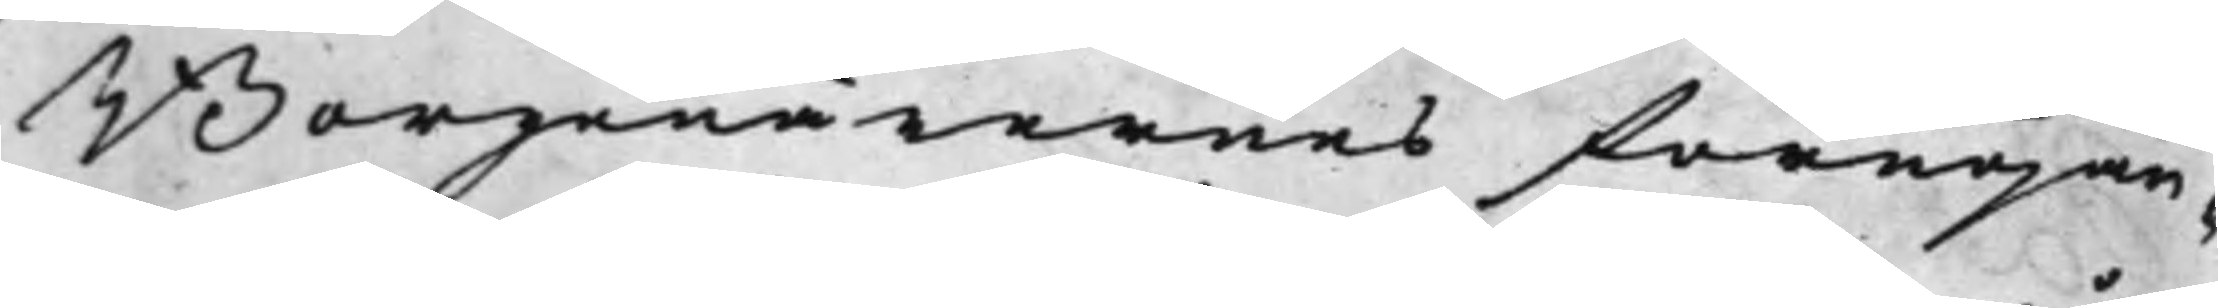Borgenärernes förnöjan¬
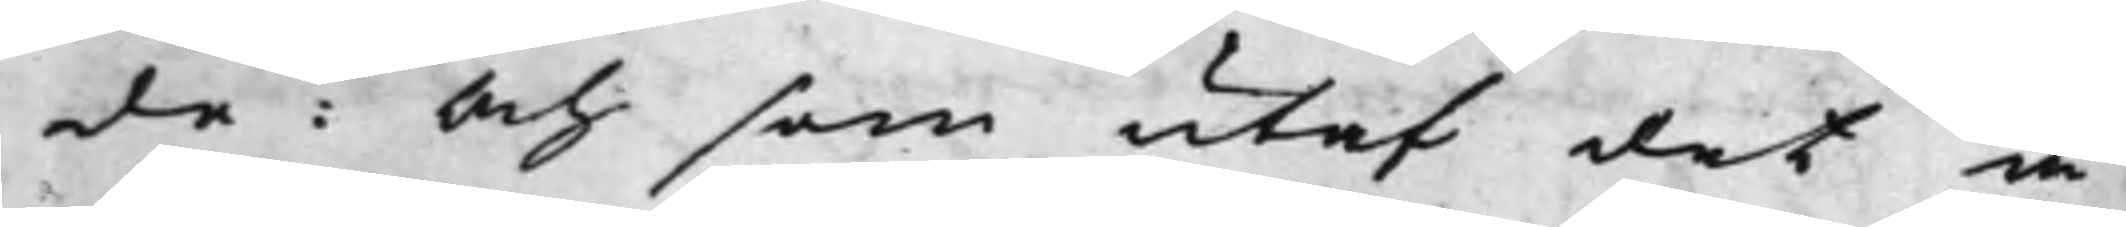de: Och som utaf det å
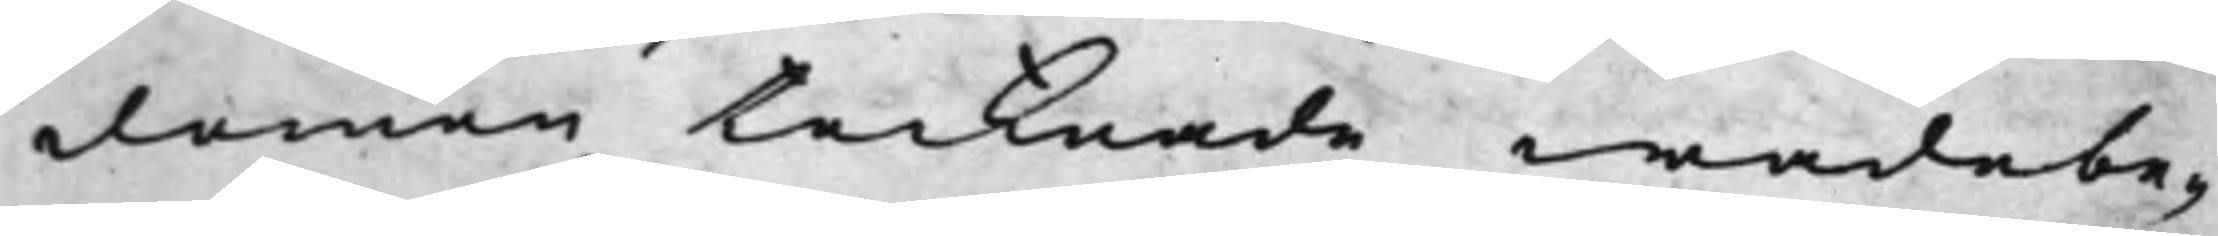domen tecknade wadebe¬
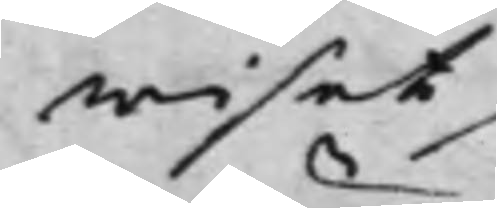wiset
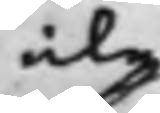icke
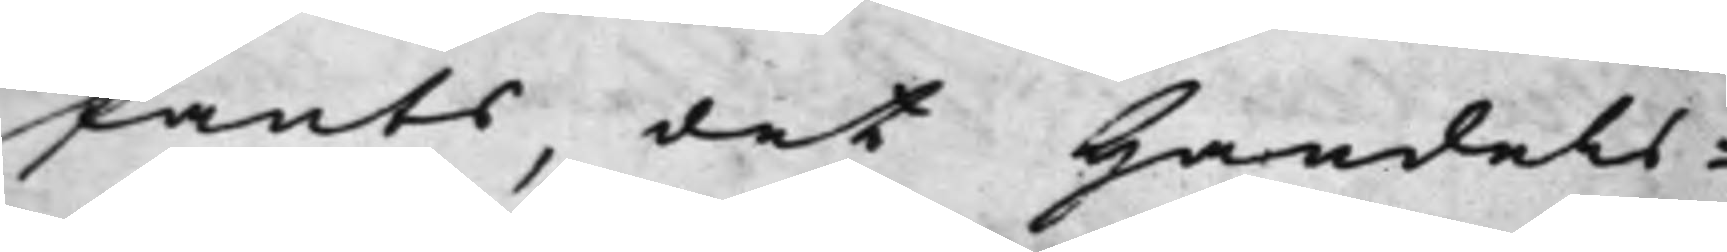fants, det Handels¬
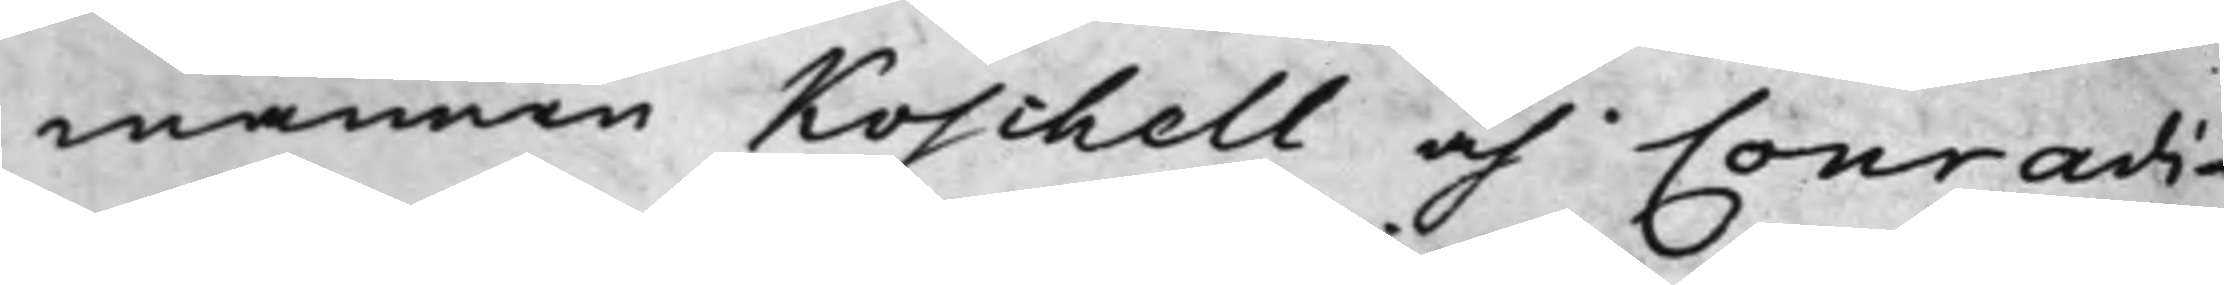männen Koschell och Conradi
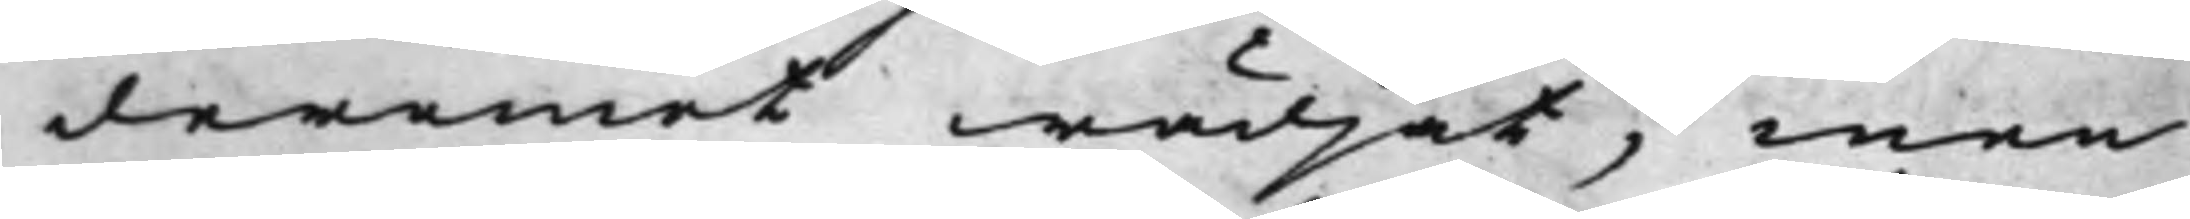deremot wädjat, men
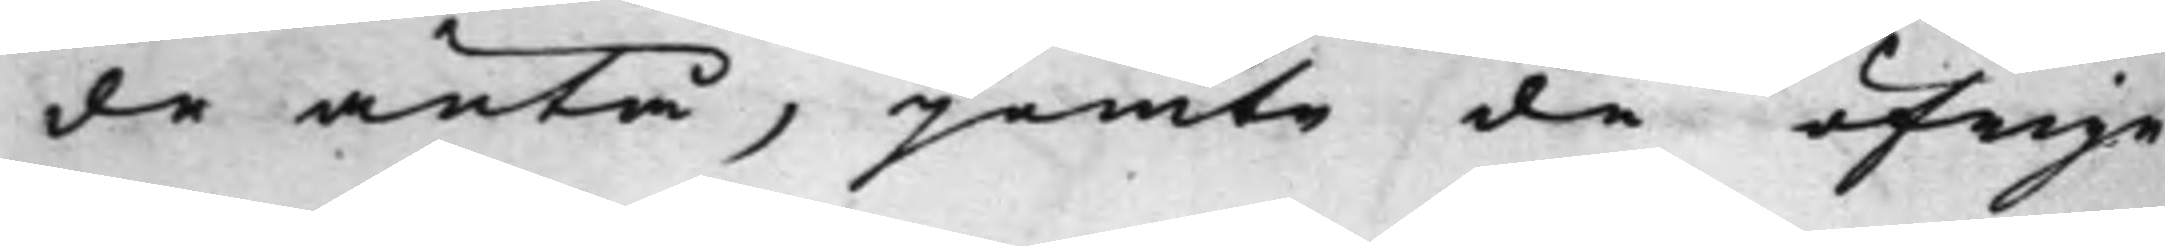de äntå, jemte de öfrige
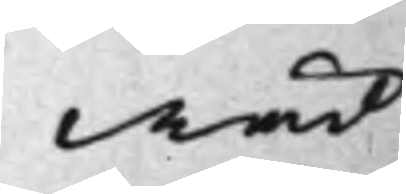wäd¬
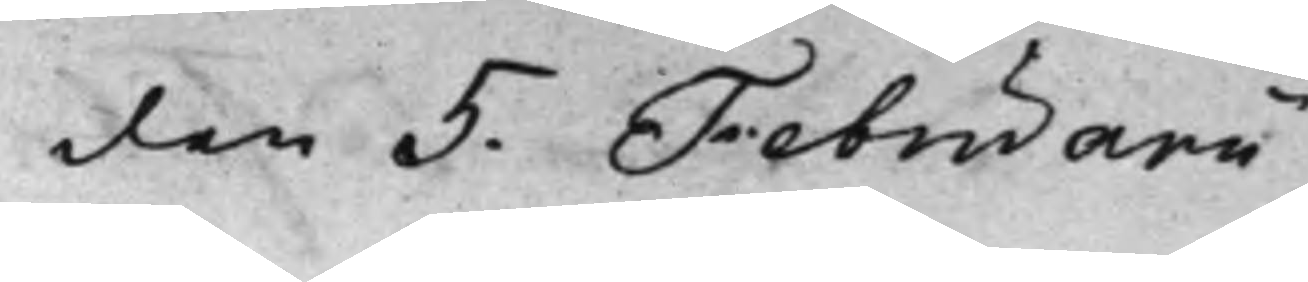den 5. Februarii
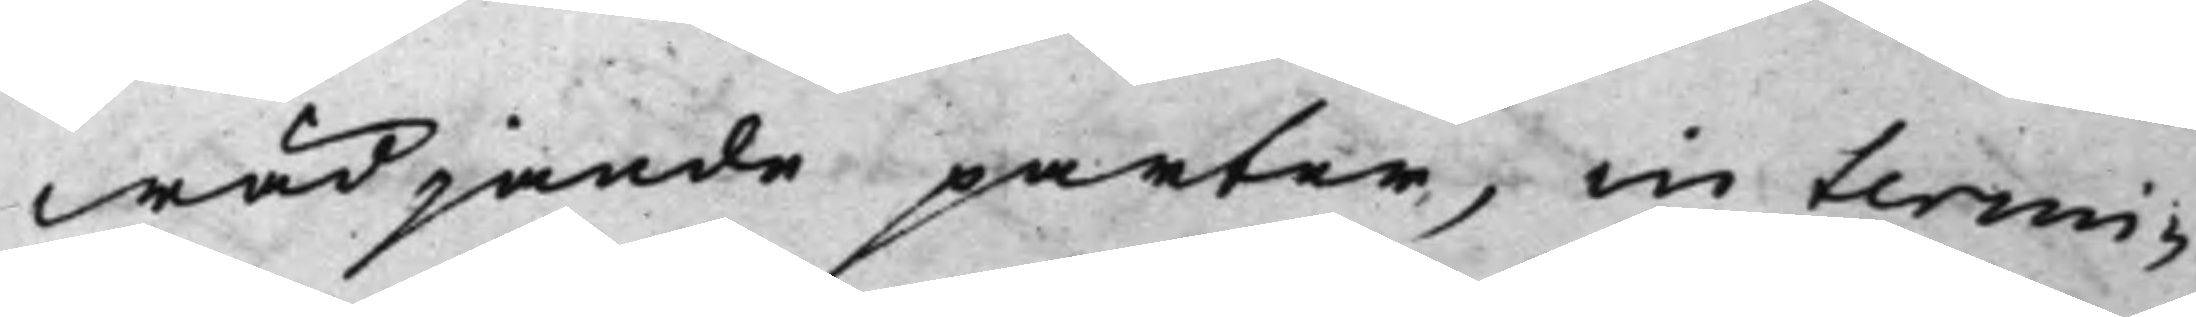wädjande parter, in termi¬
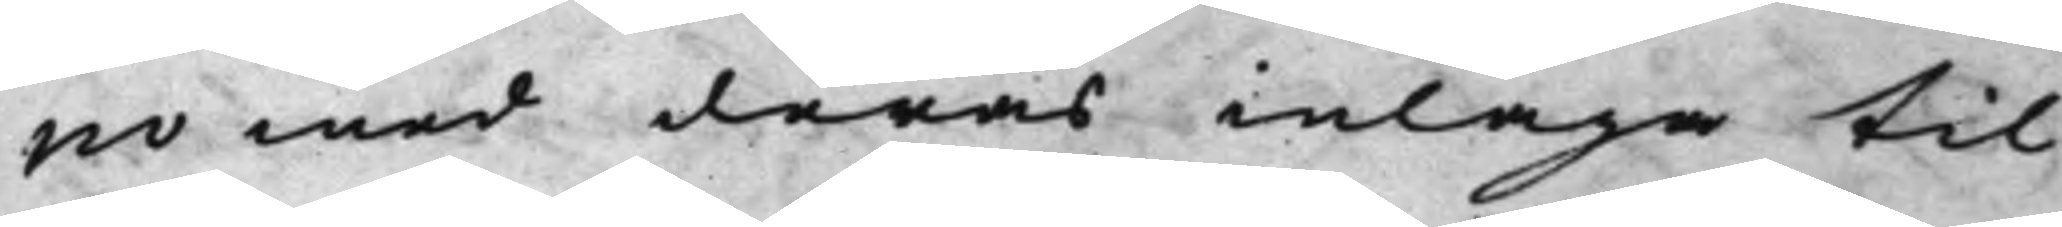no med deras inlaga til
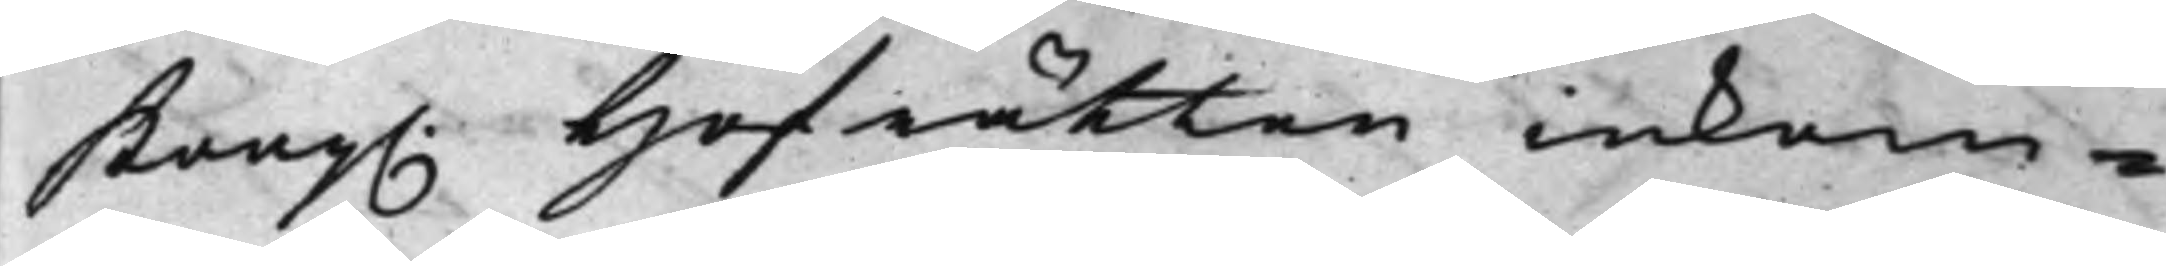Kong. Hofrätten inkom¬
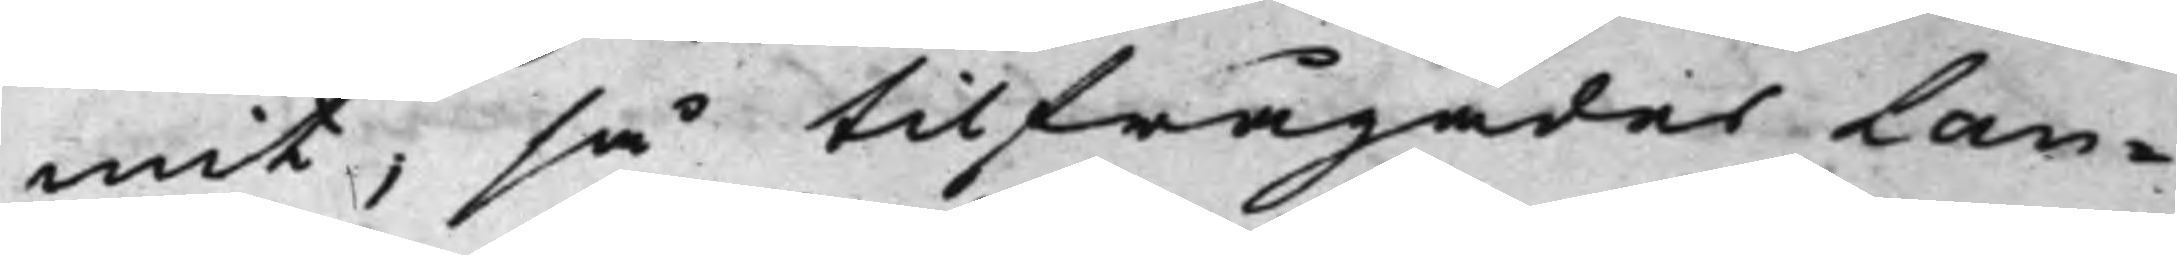mit, så tilfrågades Lan¬
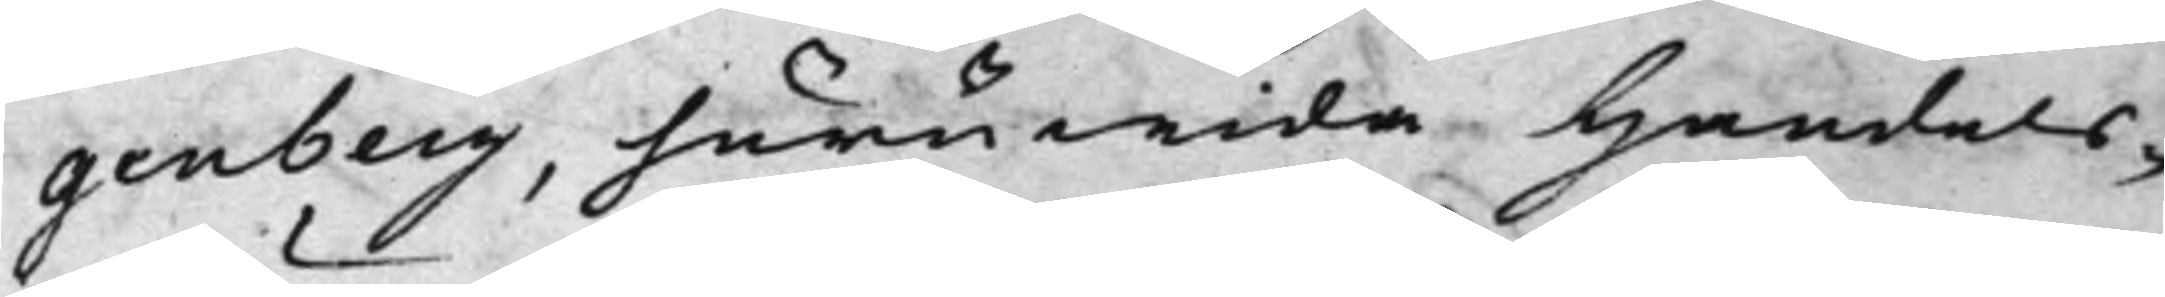genberg, huruwida Handels¬
